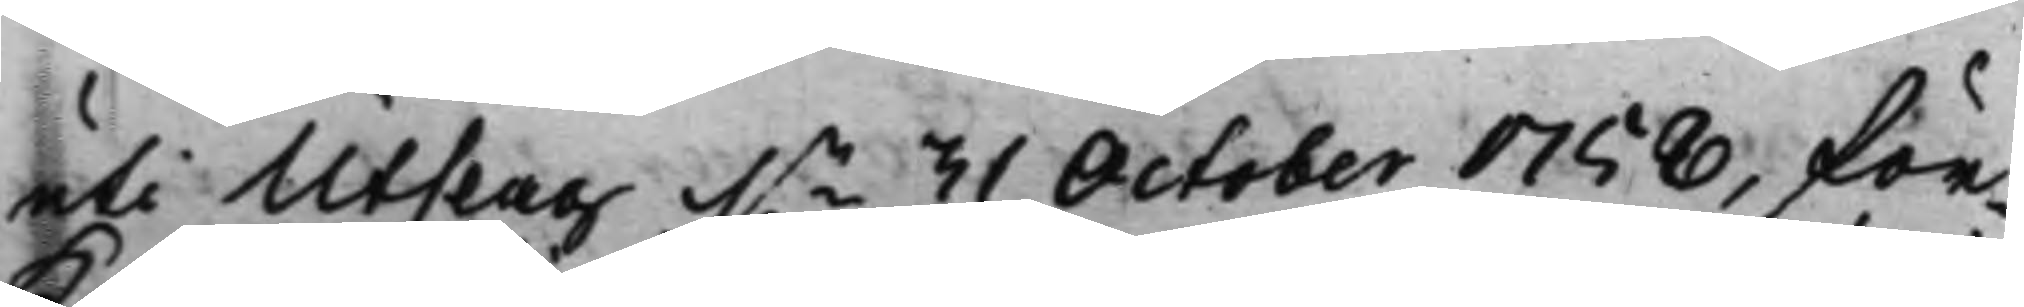uti Utslag d.n 31 October 1758, för¬
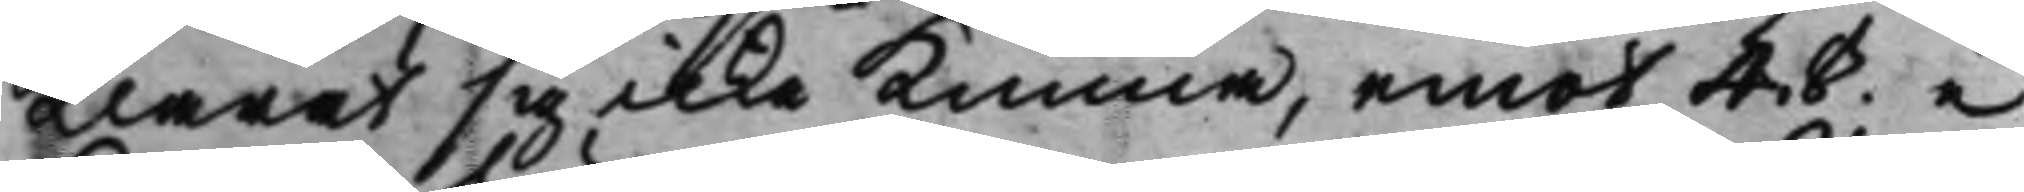klarat sig icke kunna, emot 4.§. i
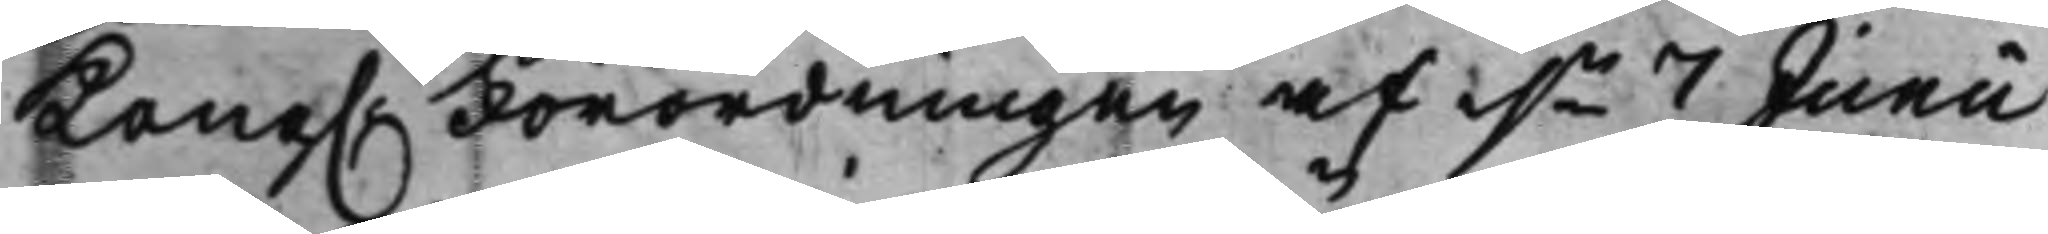Kong. Förordningen af d.n 7 Junii
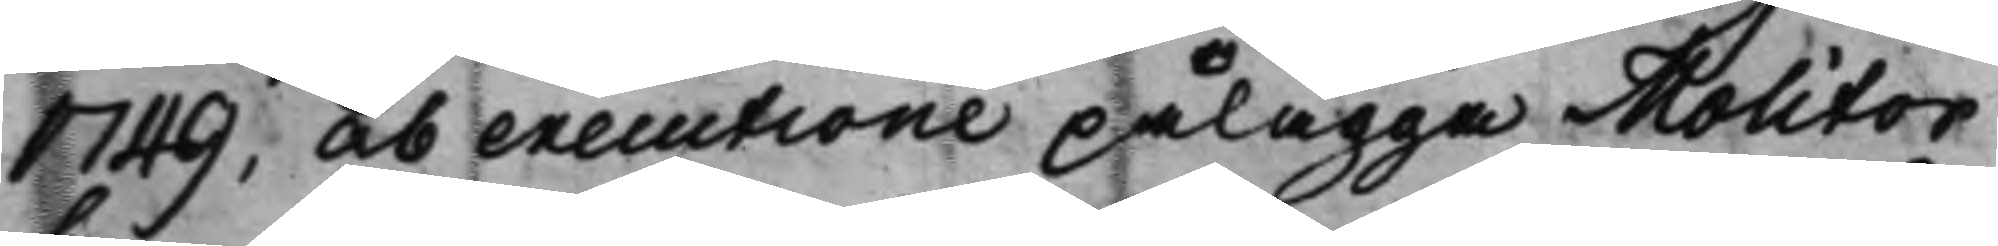1749, ab executione pålägga Molitor
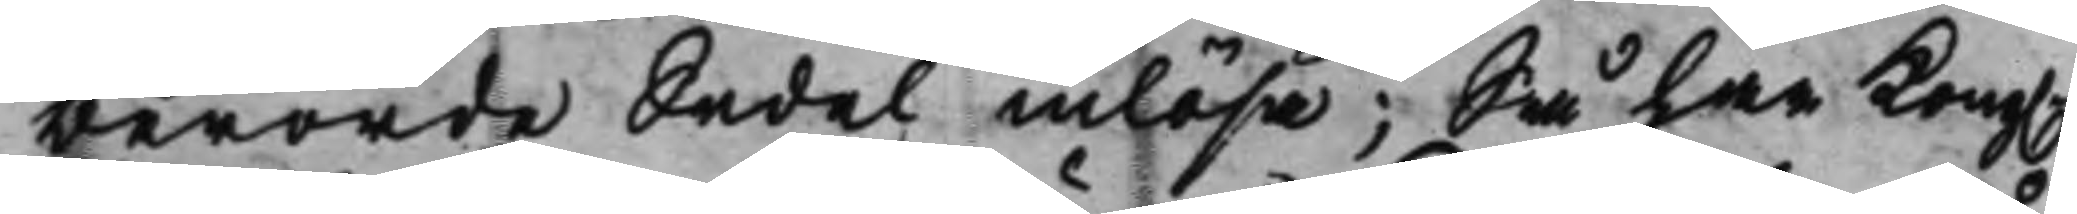berörde Sedel inlösa; Så har Kong.
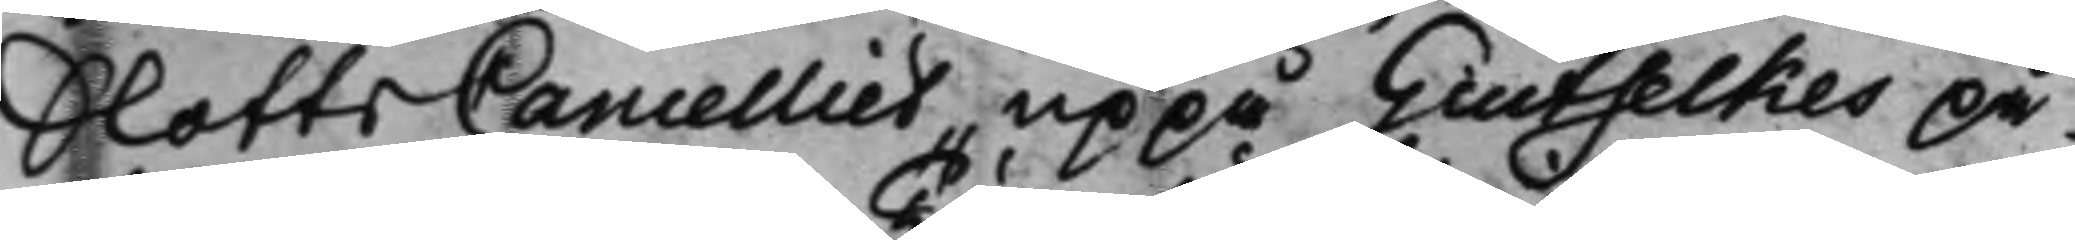SlottsCancelliet, uppå Giutselkes på¬
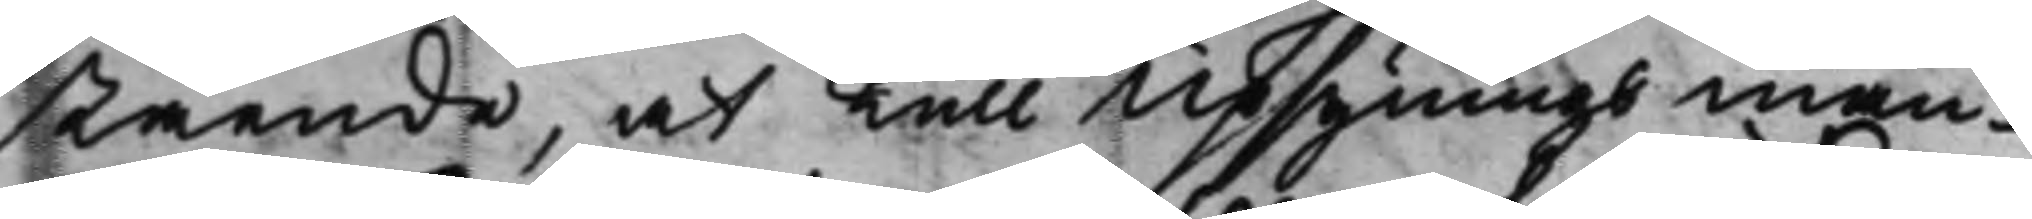stående, at Tull Upsynings man¬
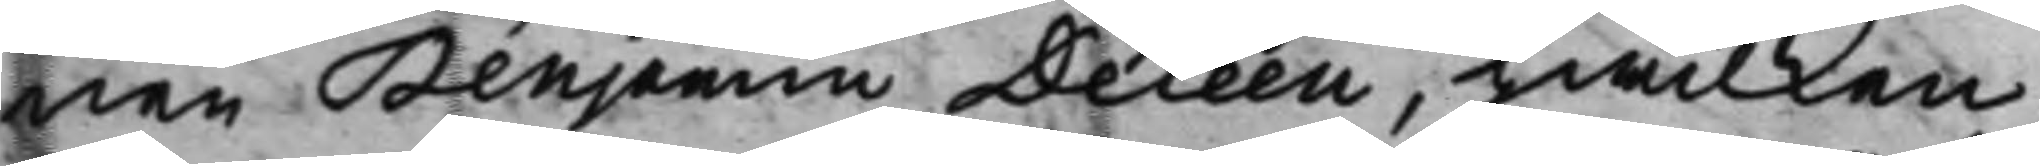nen Benjamin Deleen, hwilken
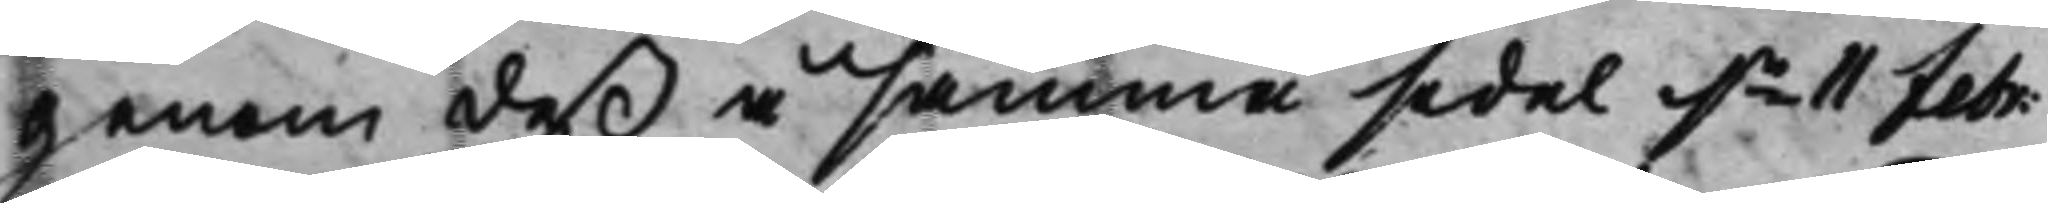genom deß å samma  sedel d.n 11 Febr.
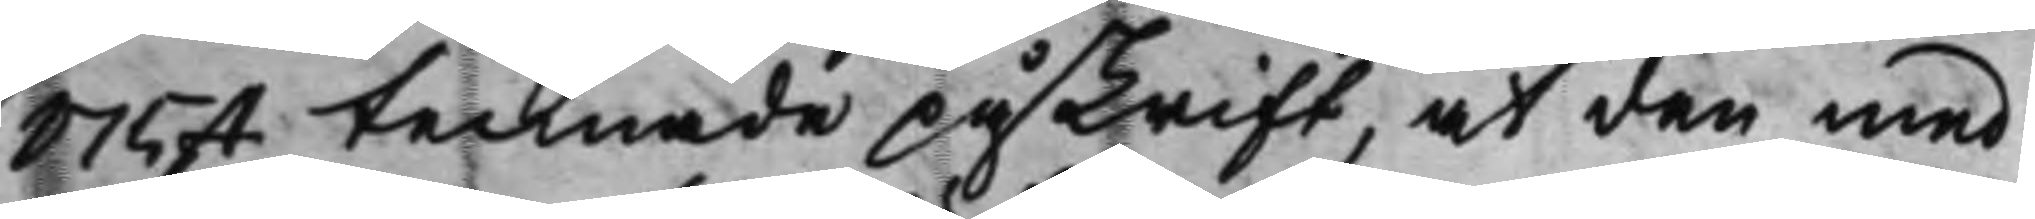1754 tecknade påskrift, at den med
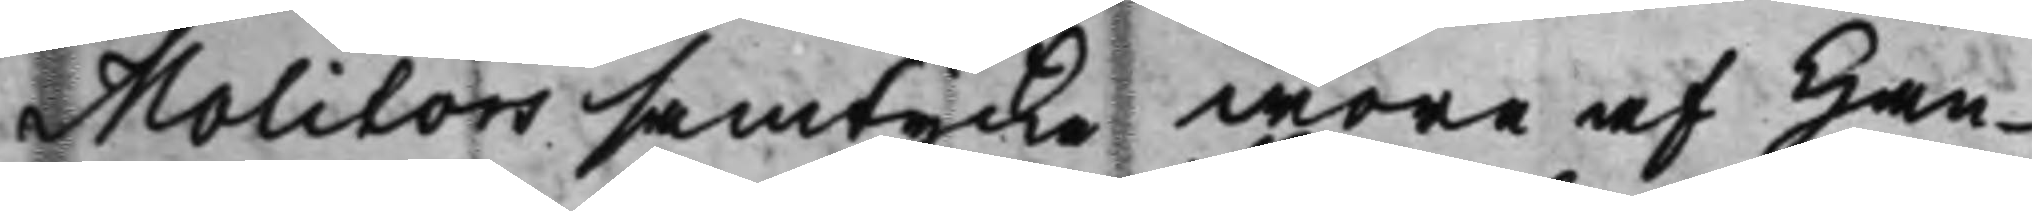Molitors samtycke wore af Han¬
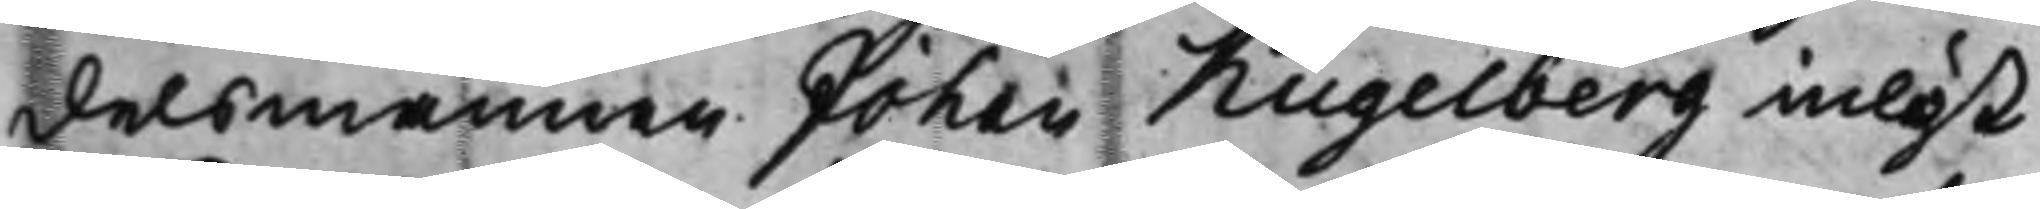delsmannen Johan Kugelberg inlöst
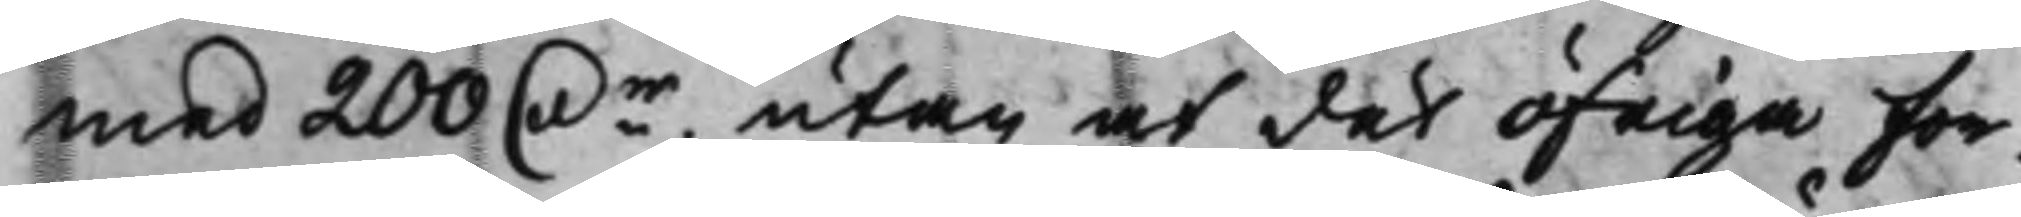med 200 Dr, utan at det öfriga for¬
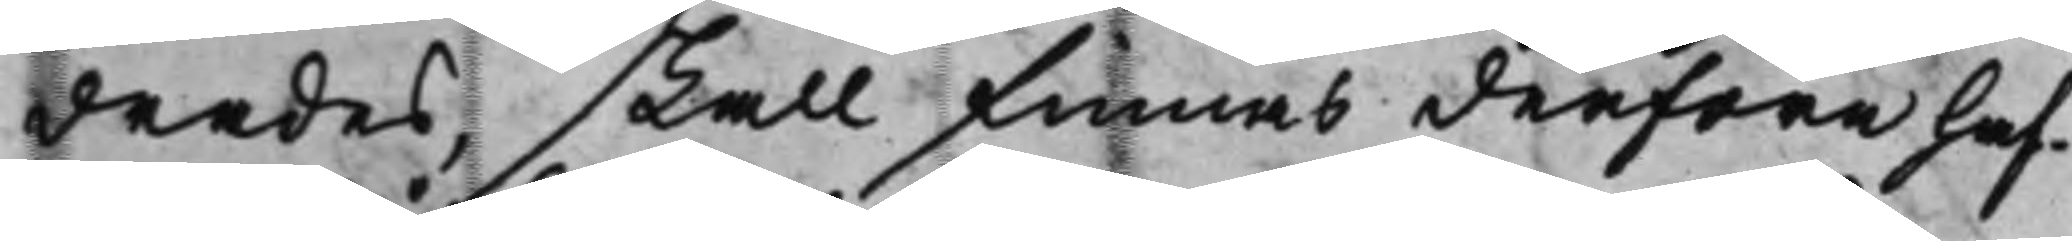drades, skall finnas derföre haf¬
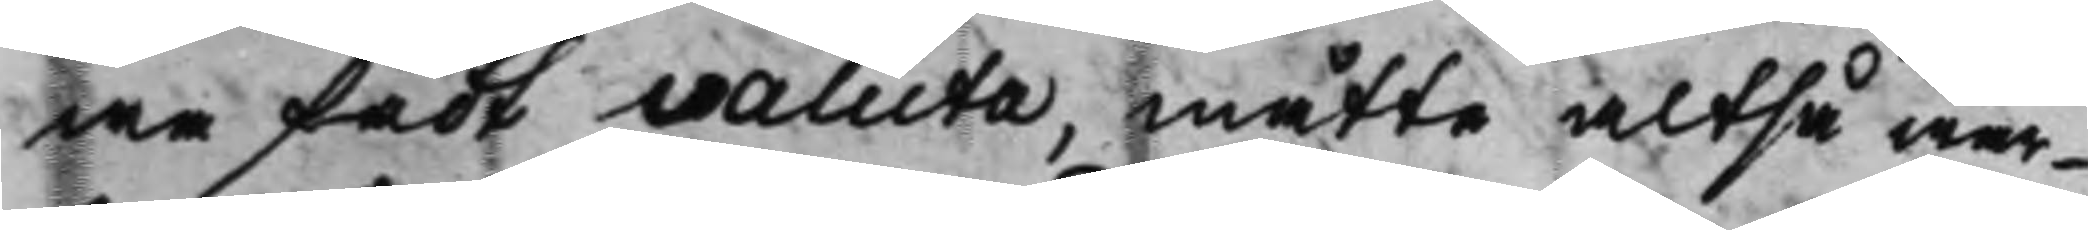wa fådt valuta, måtte altså war¬
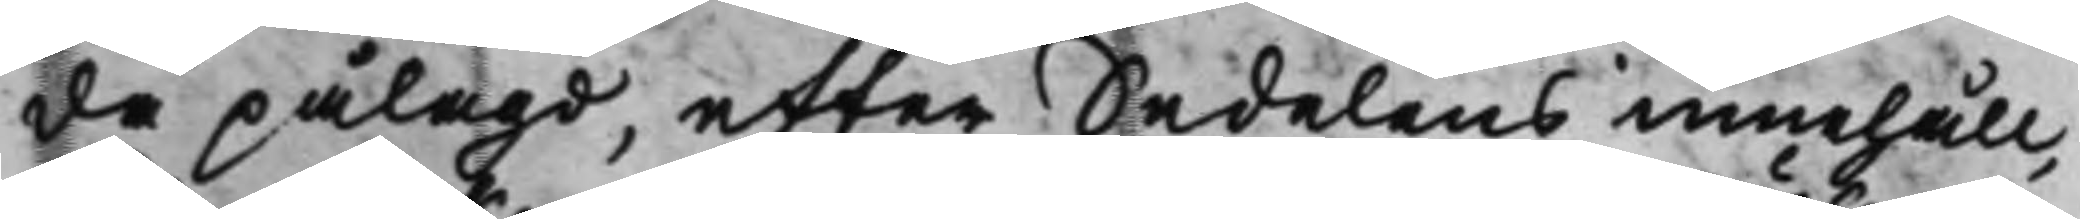da pålagd, efter Sedelens innehåll,
